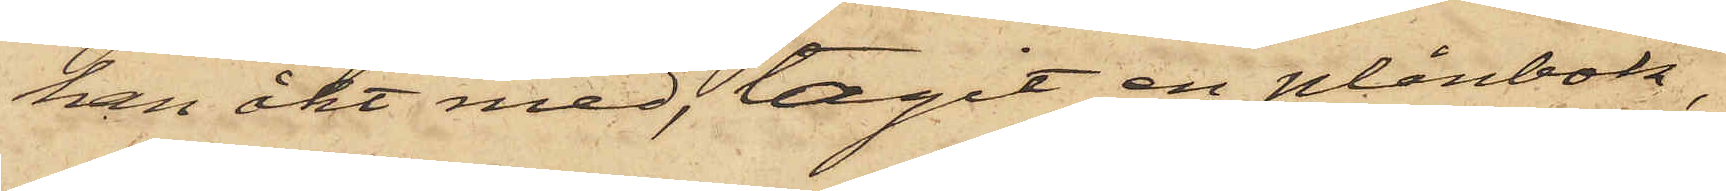han åkt med, tagit en plånbok,
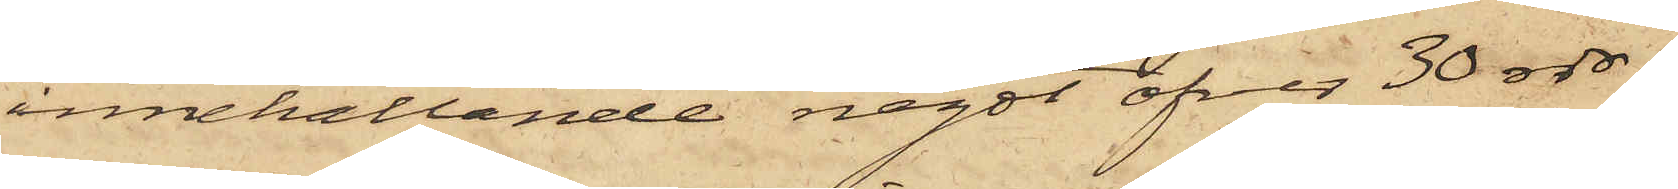innehållande något öfver 30 rdr,
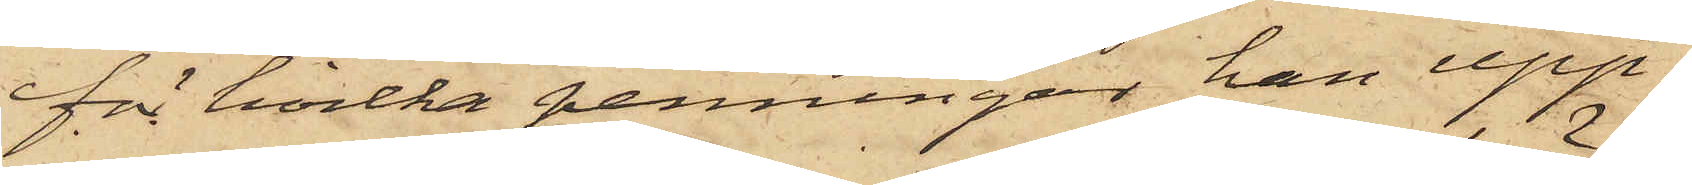för hvilka penningar han upp¬
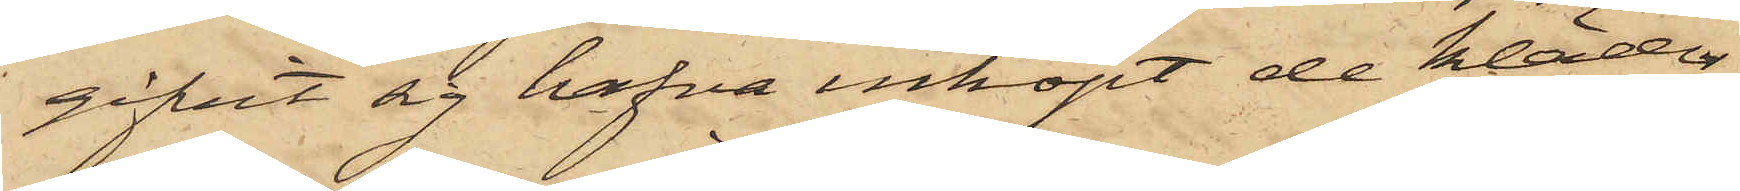gifvit sig hafva inköpt de kläder
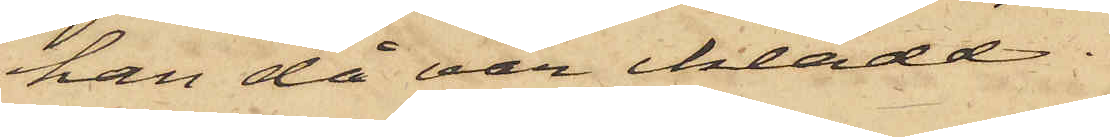han då var iklädd.
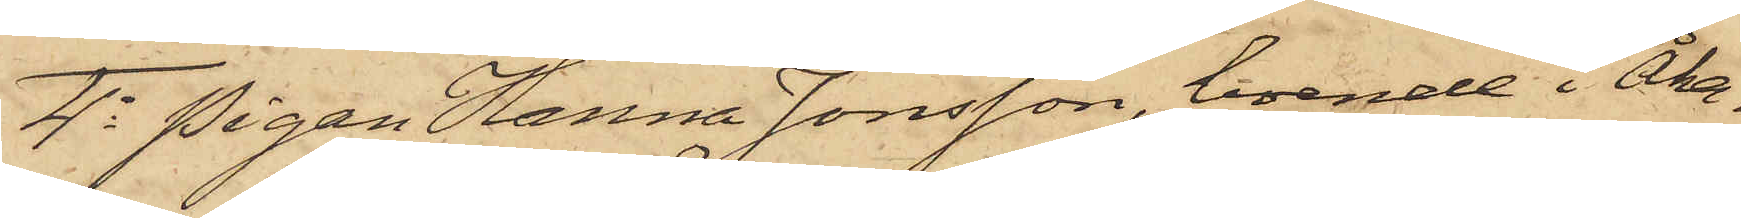4o Pigan Hanna Jonsson, boende i Åka¬
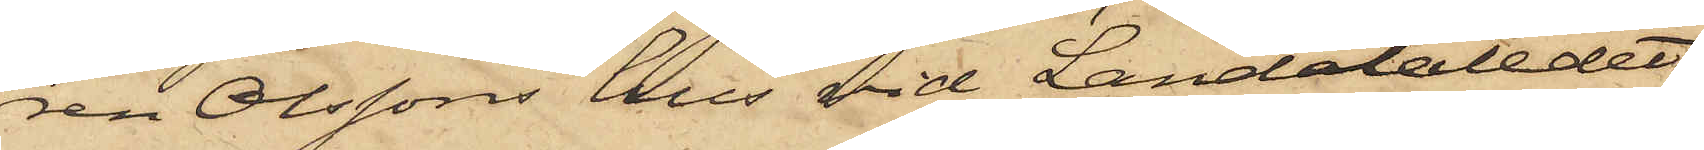ren Olssons hus vid Landalaledet,
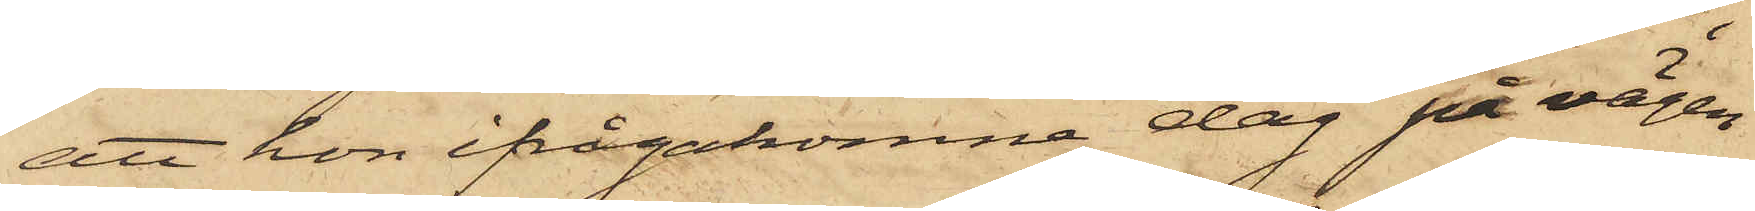att hon ifrågakomne dag på vägen
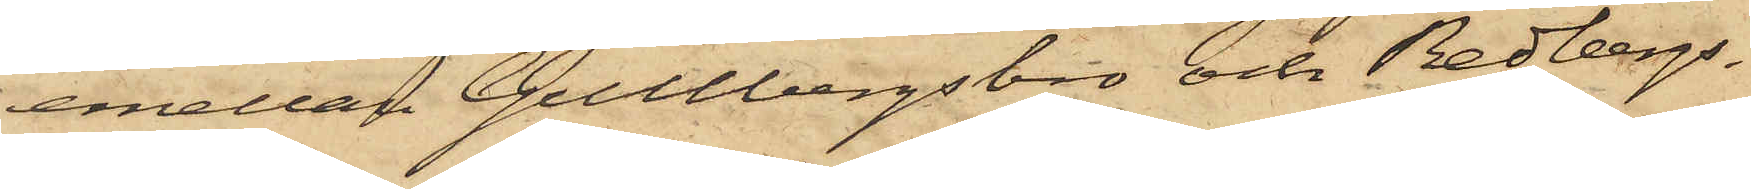emellan Gullbergsbro och Redbergs¬
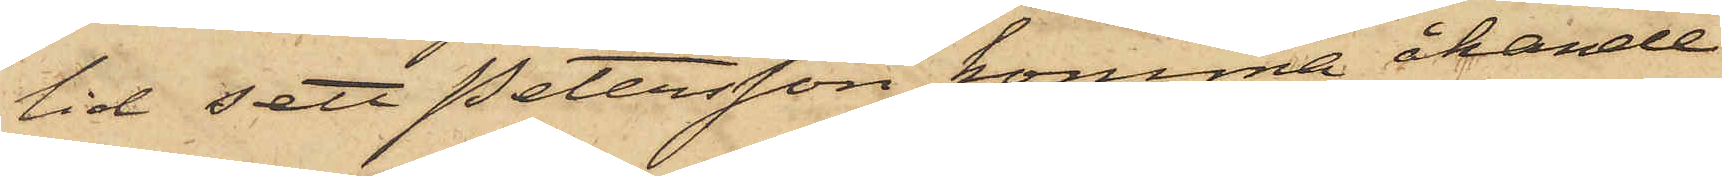lid sett Petersson komma åkande
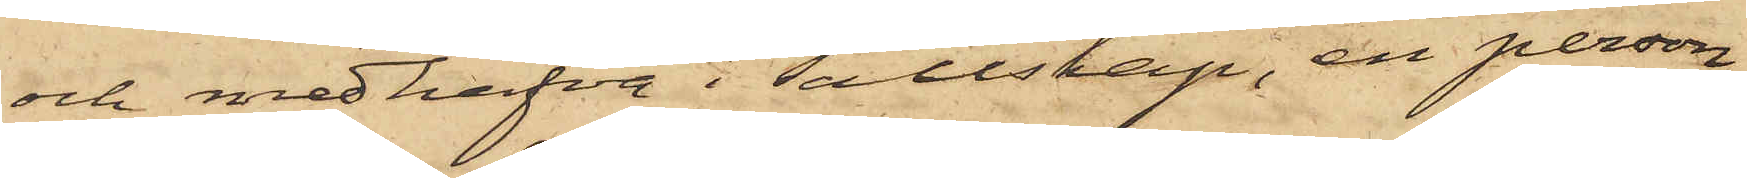och medhafva i sällskap, en person,
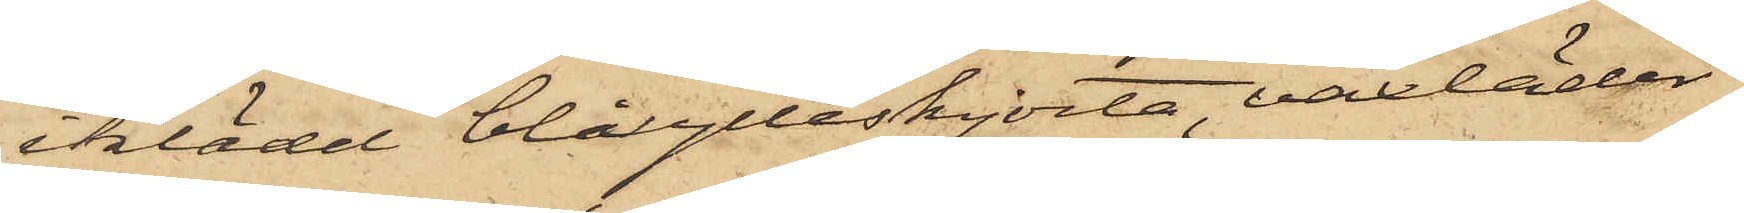iklädd blå ylleskjorta, vaxläder¬
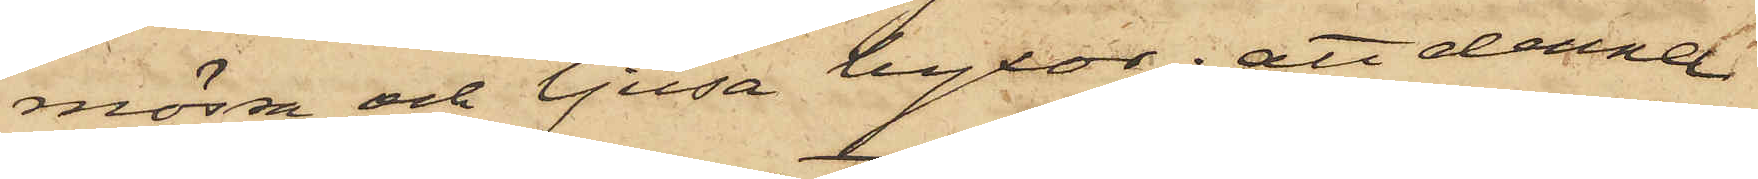mössa och ljusa byxor; att denne
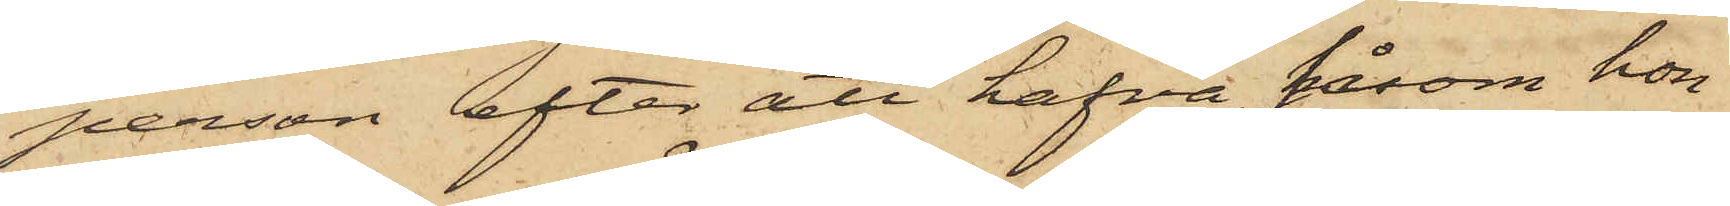person efter att hafva såsom hon
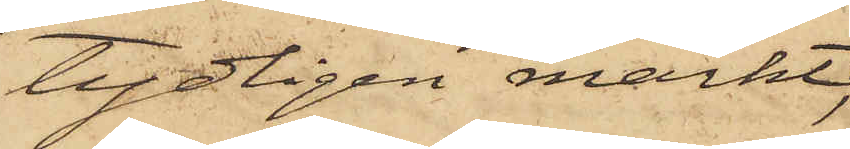tydligen märkt,
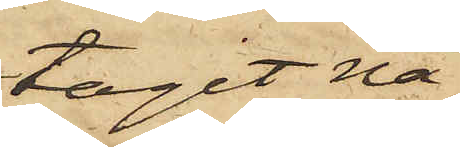tagit nå¬
